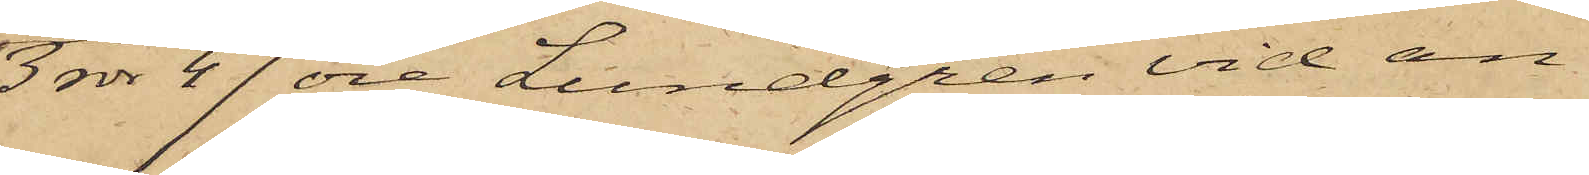3 rdr 47 öre Lundgren vid an¬
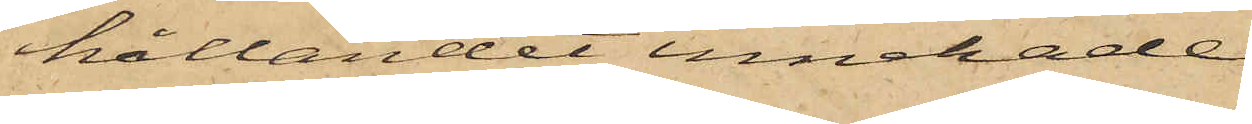hållandet innehade.
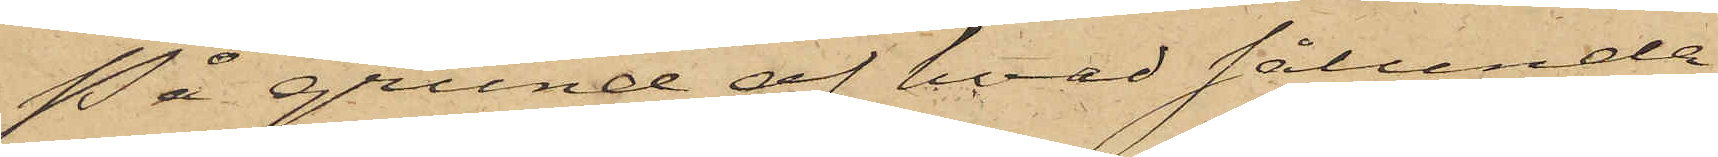På grund af hvad sålunda
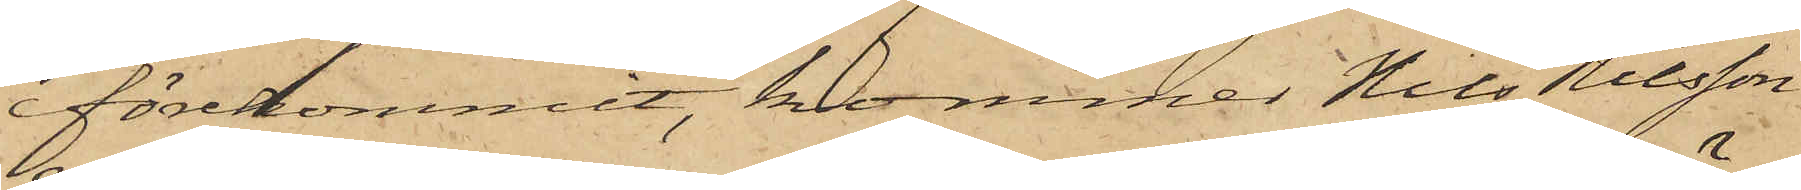förekommit, kommer Nils Nilsson
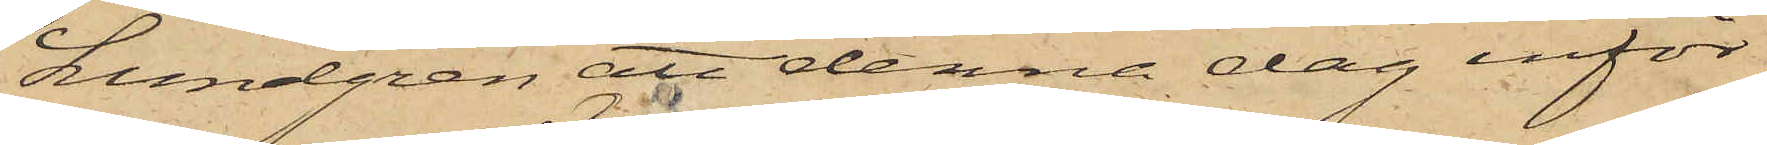Lundgren att denna dag inför¬
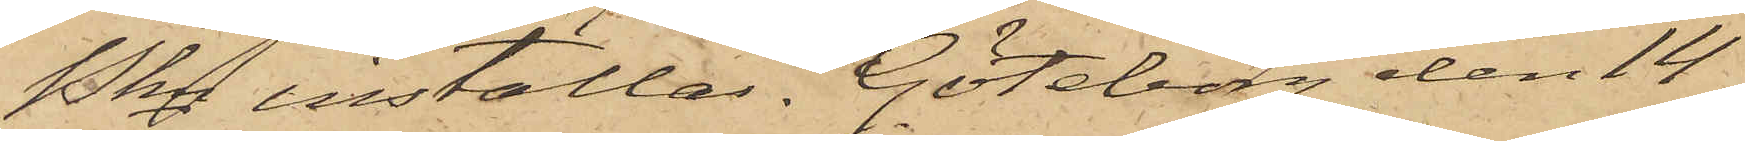Pkn inställas. Göteborg den 14
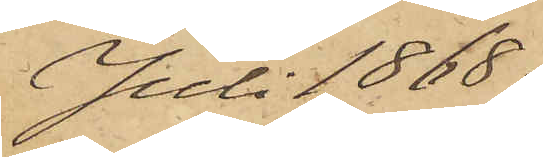Juli 1868.
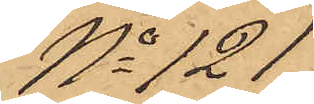No 121
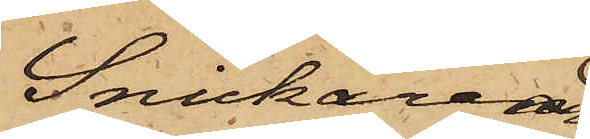Snickeriar¬
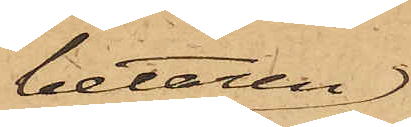betaren
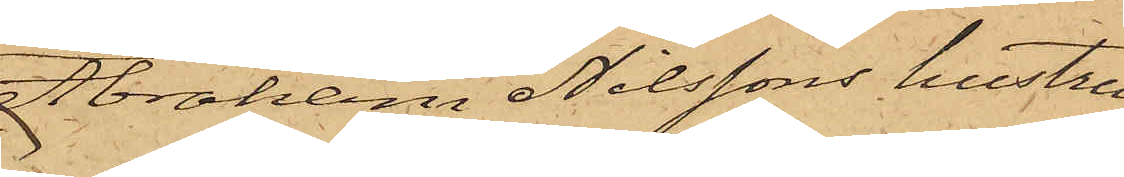Abraham Nilssons hustru
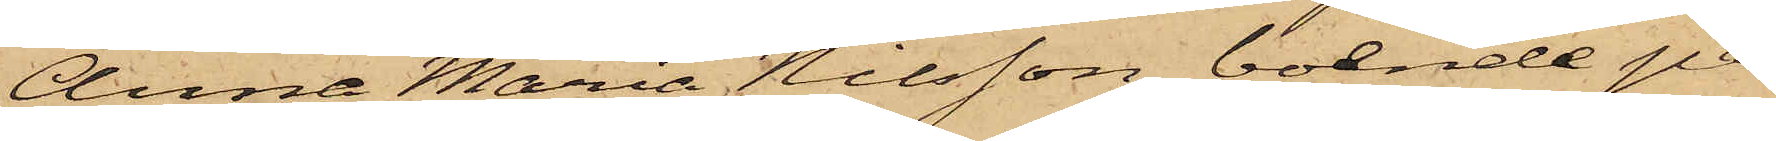Anna Maria Nilsson, boende på
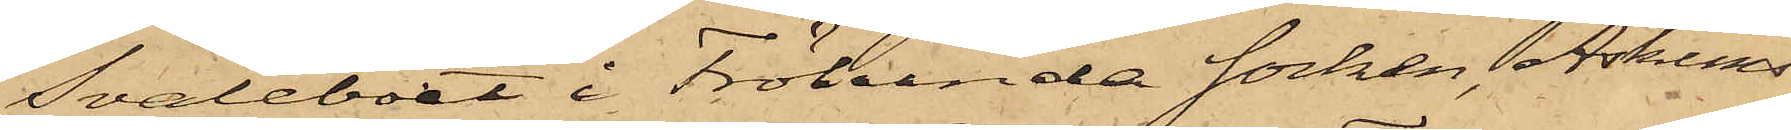Svaleboet i Frölunda socken, Askims
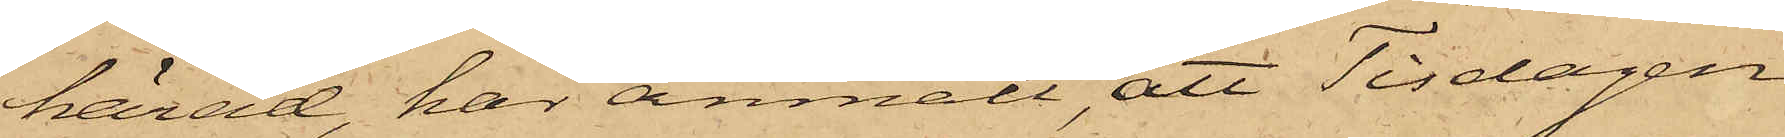härad, har anmält att Tisdagen
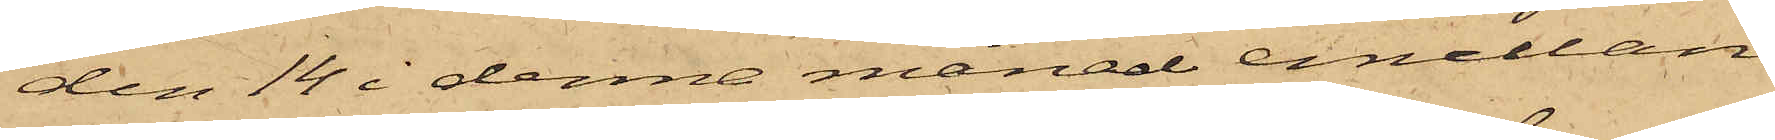den 14 i denna månad emellan
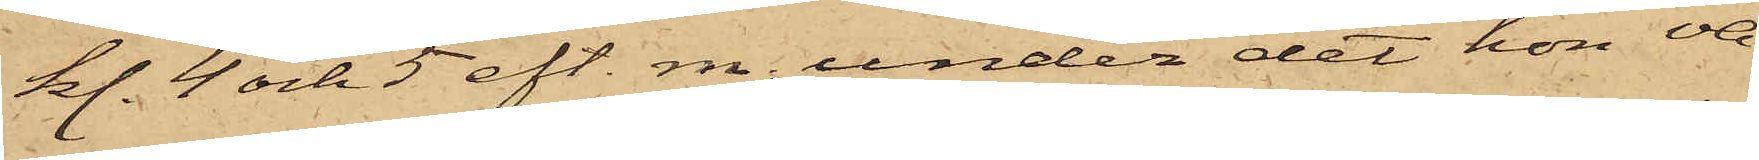kl. 4 och 5 eft. m., under det hon va¬
